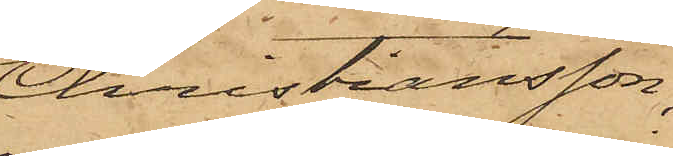Christiansson,
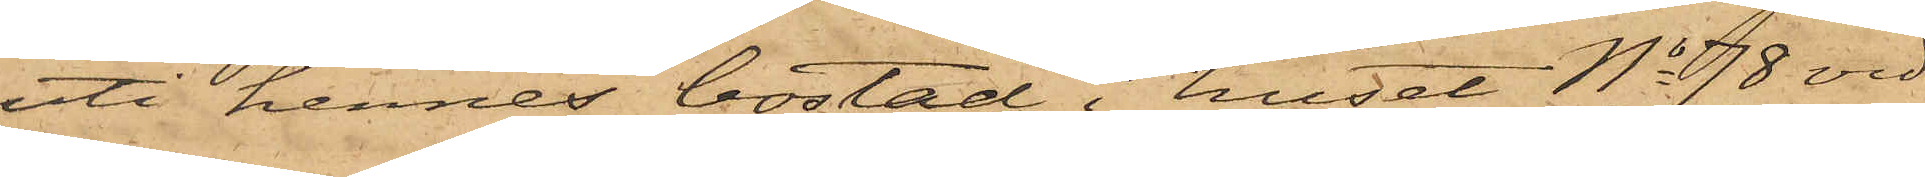uti hennes bostad i huset No 78 vid
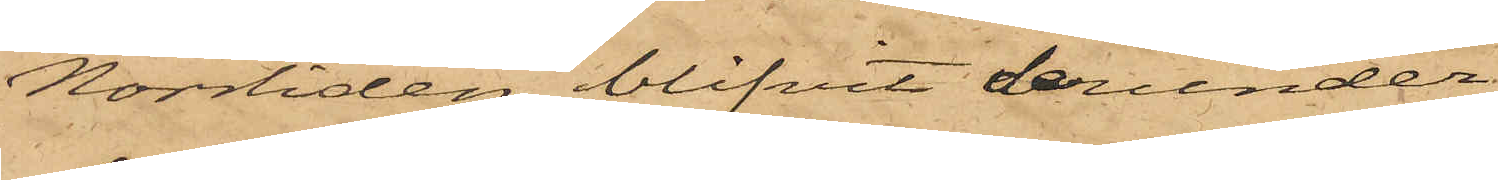Norrliden blifvit derunder
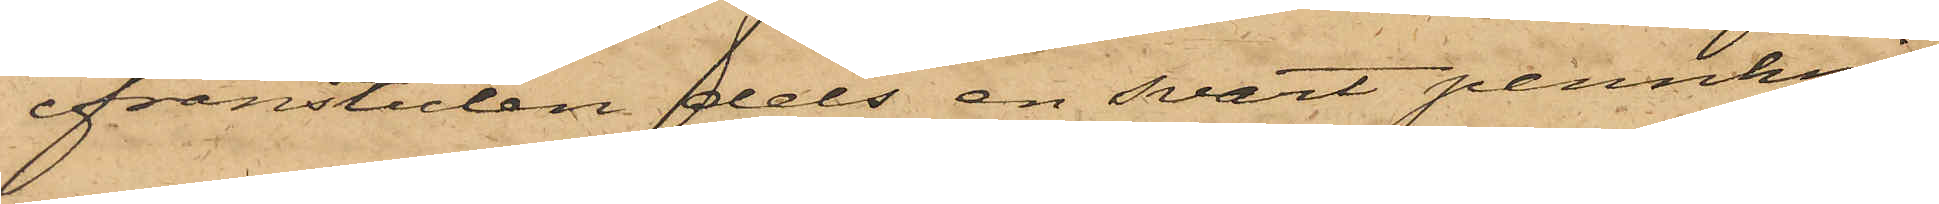ifrånstulen dels en svart pennknif
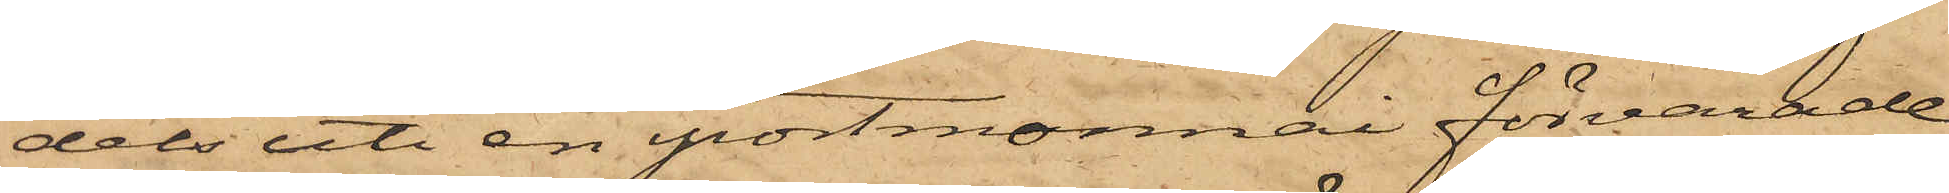dels uti en portmonnai förvarade
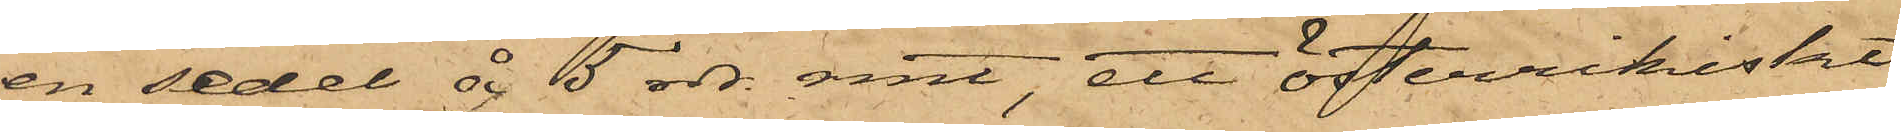en sedel år 5 rdr rmt, ett österrikiskt
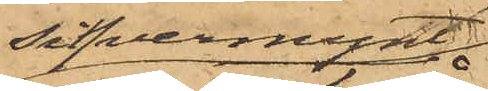sifvermynt
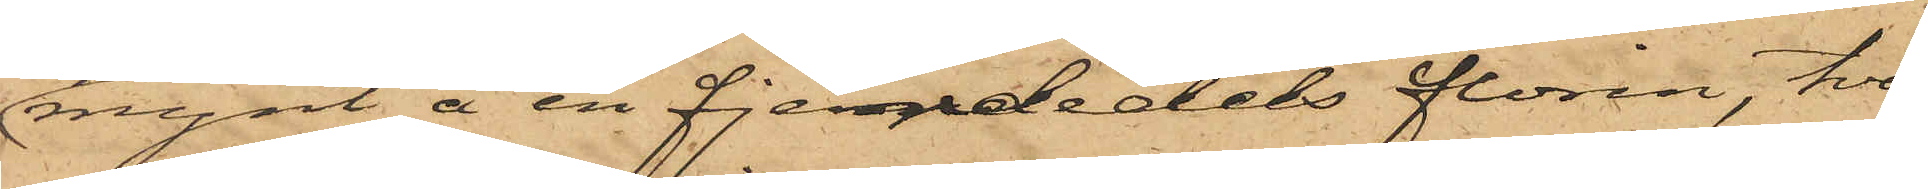mynt å en fjerdedels florin, två
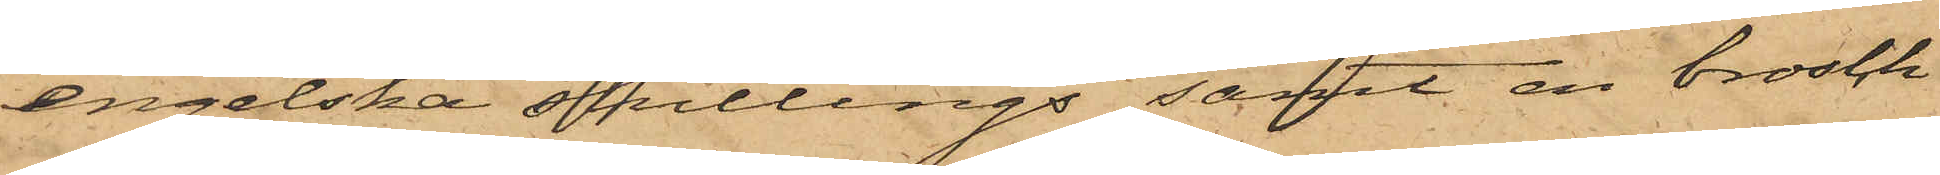engelska shillings samt en brosch
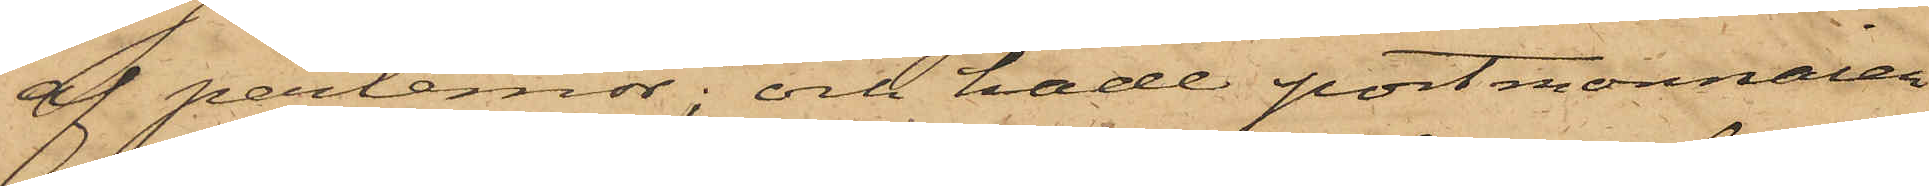af perlemor; och hade portmonnaien
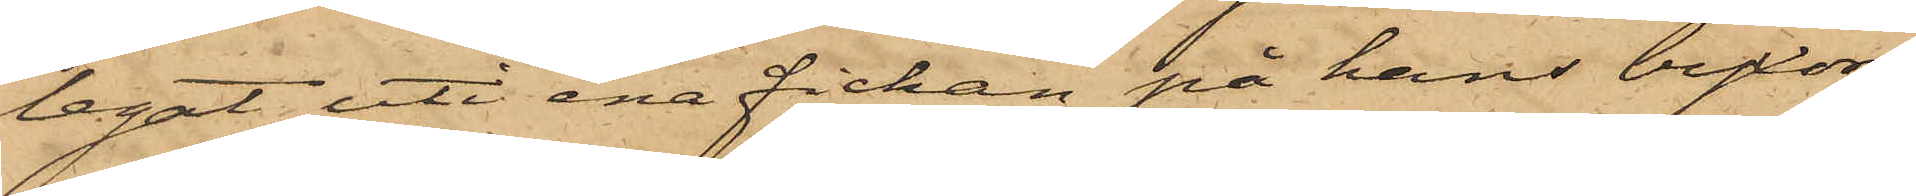legat uti ena fickan på hans byxor,
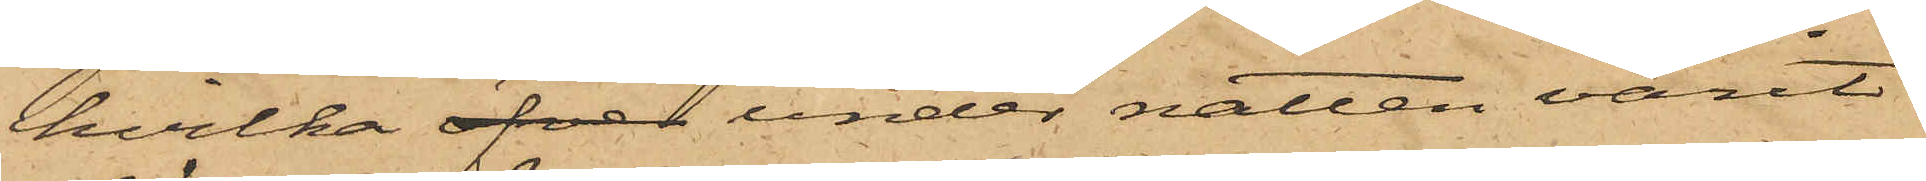hvilka öfver under natten varit
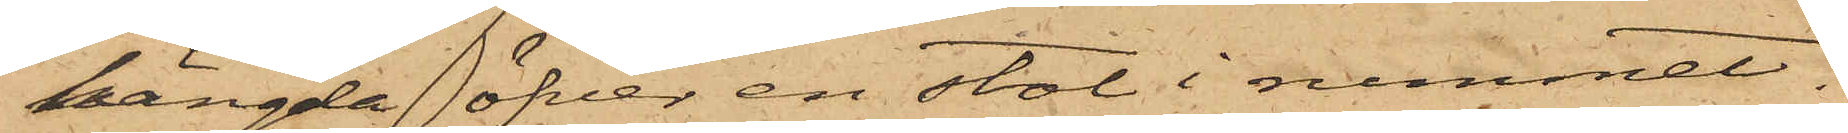hängda öfver en stol i rummet.
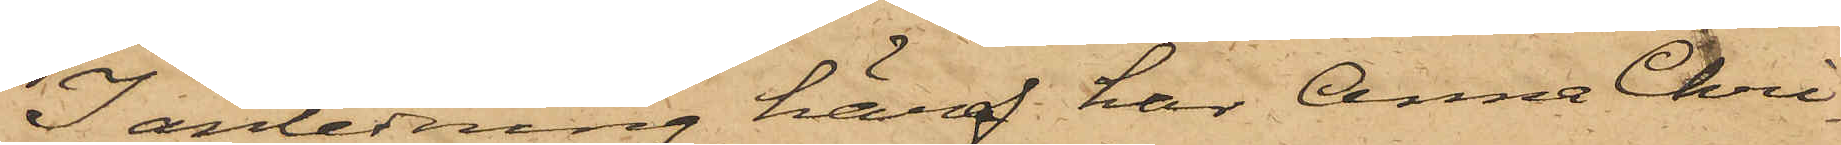I anledning häraf har Anna Chri¬
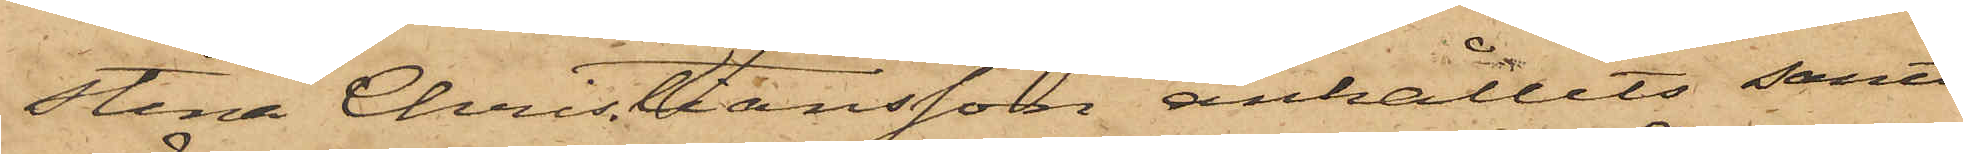stina Christiansson anhållits samt
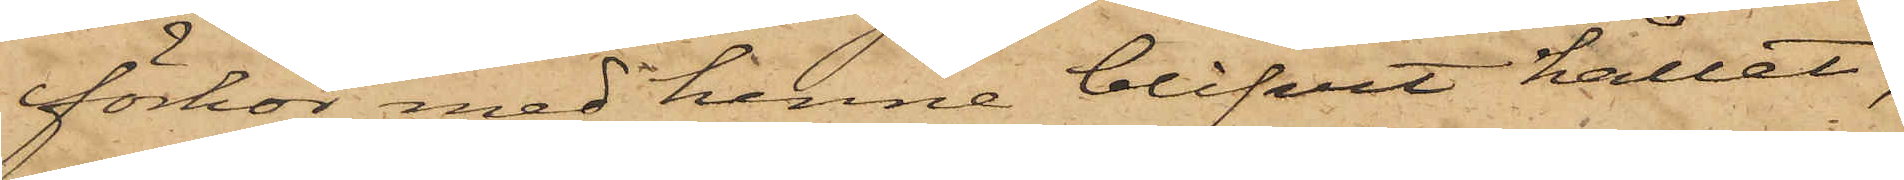förhör med henne blifvit hållet,
